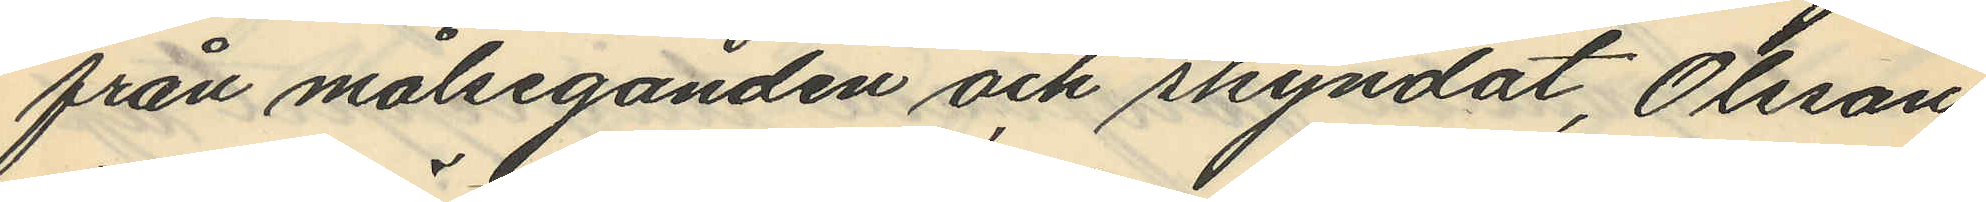från målseganden och skyndat, Olsson
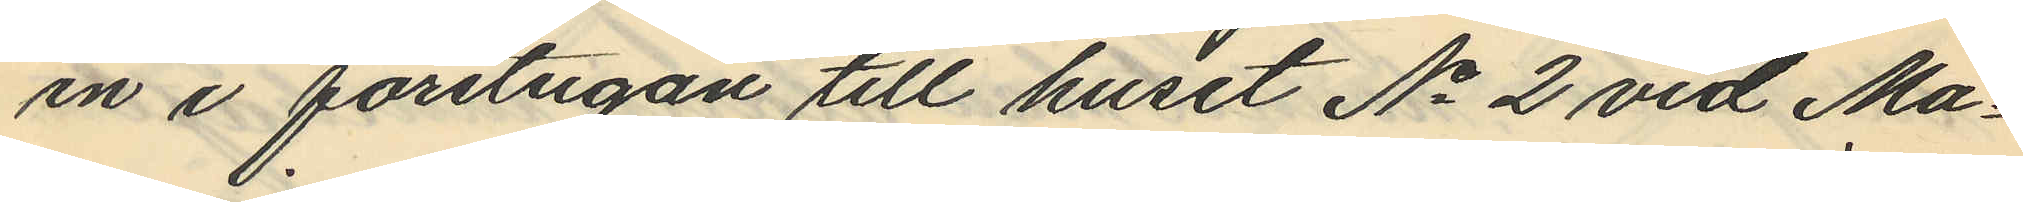in i förstugan till huset No 2 vid Ma¬
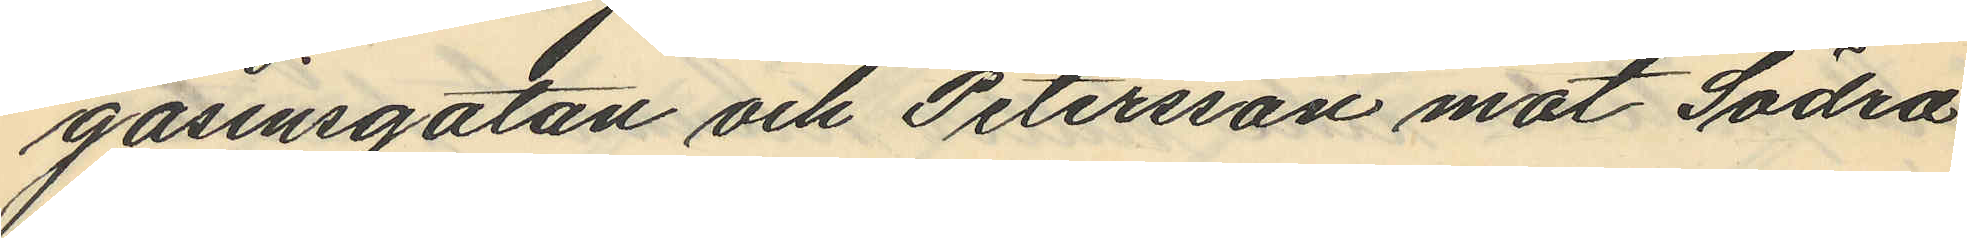gasinsgatan och Petersson mot Södra
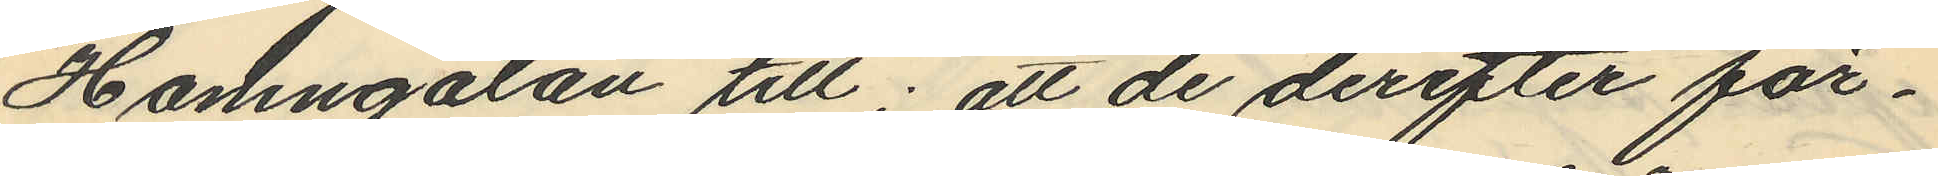Hamngatan till; att de derefter för¬
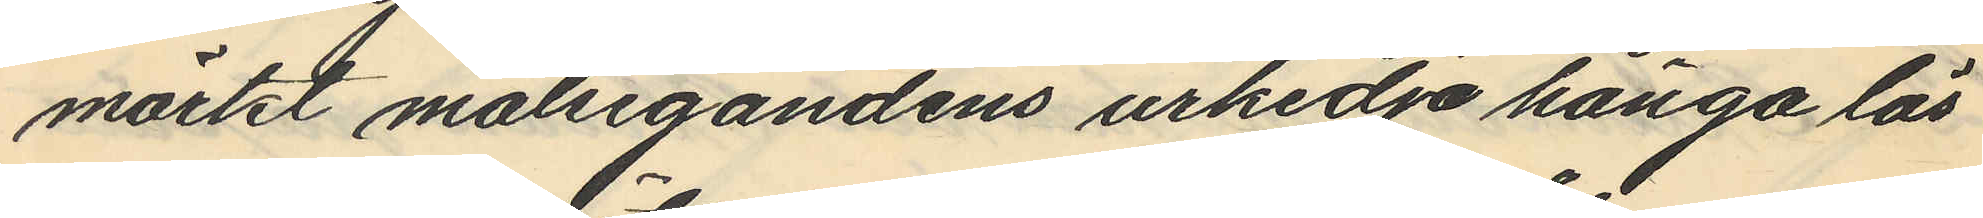märkt målsegandens urkedja hänga lös
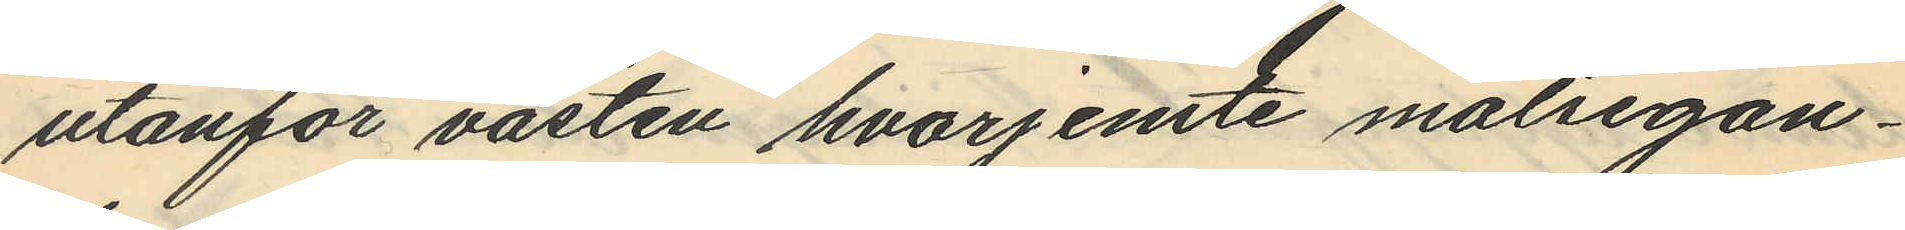utanför västen hvarjemte målsegan¬
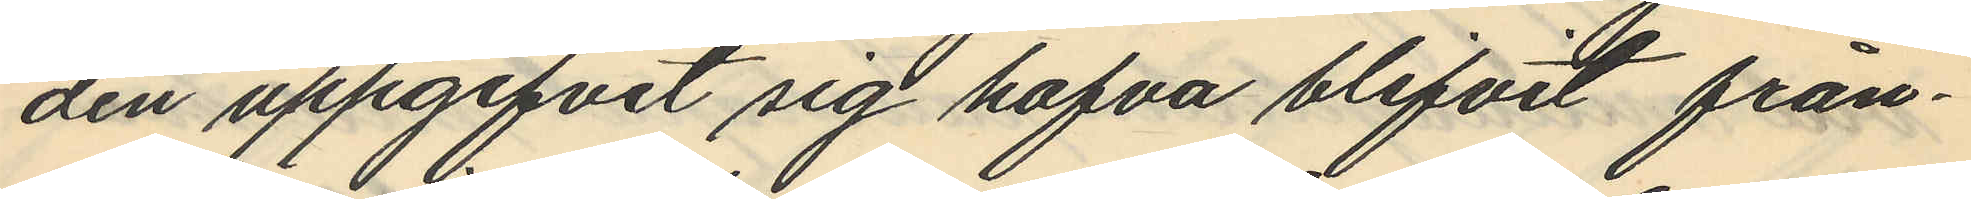den uppgifvit sig hafva blifvit från¬
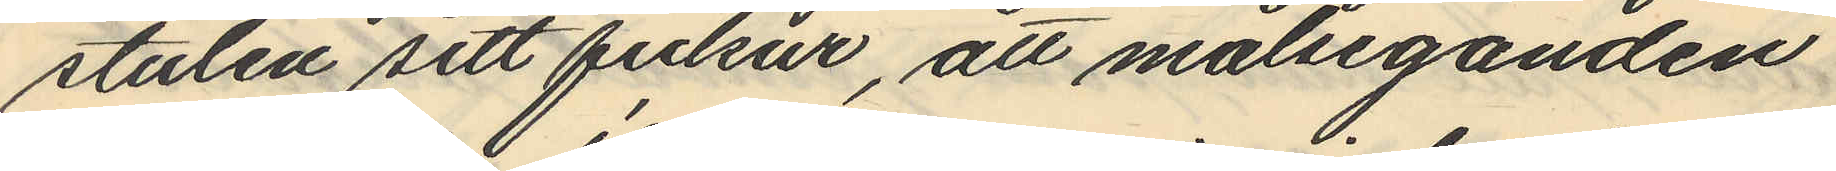stulen sitt fickur, att målseganden
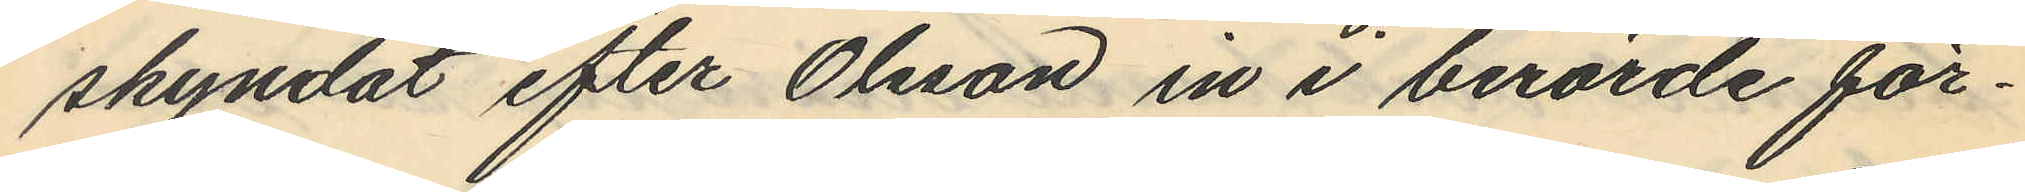skyndat efter Olsson in i berörde för¬
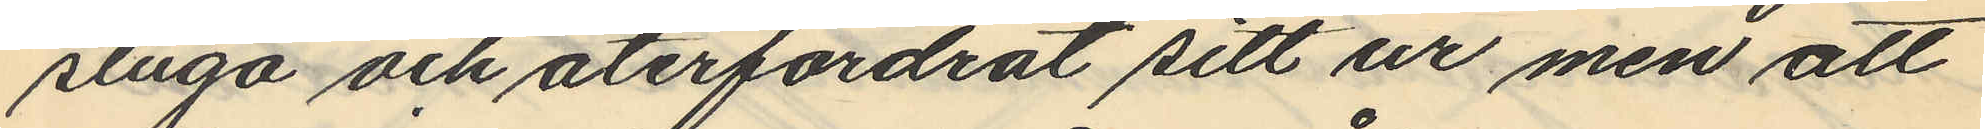stuga och återfordrat sitt ur men att
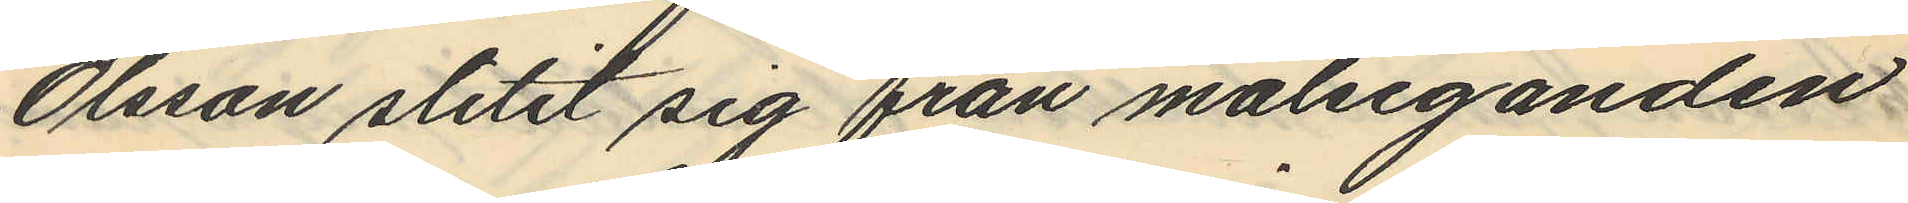Olsson slitit sig från målseganden
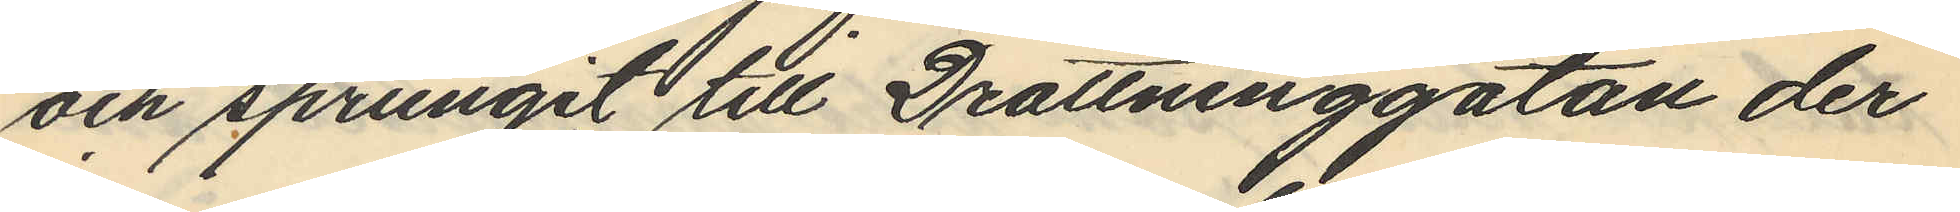och sprungit till Drottninggatan der
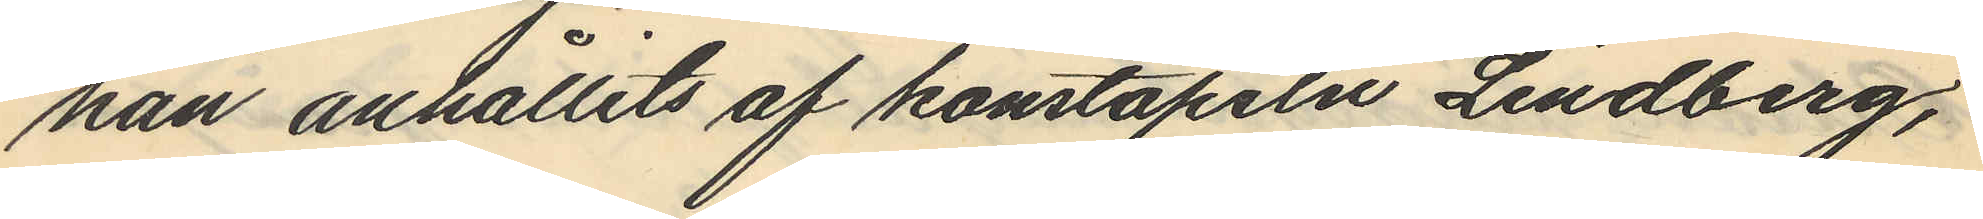han anhållits af konstapeln Lindberg,
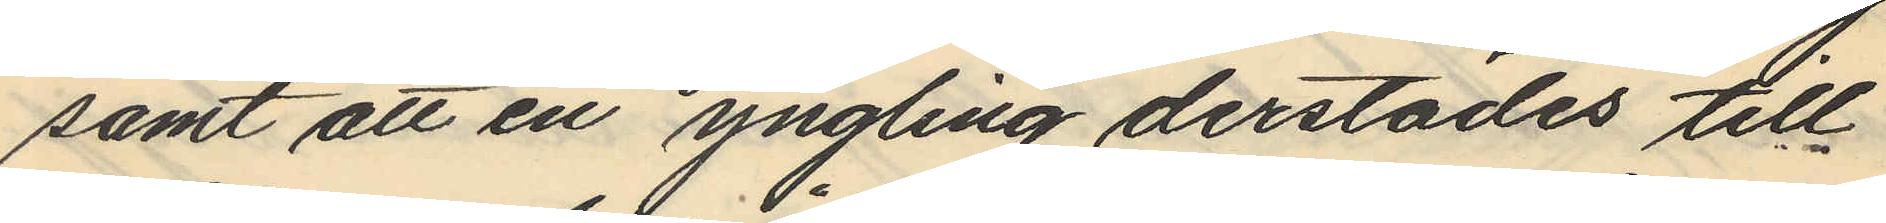samt att en yngling derstädes till
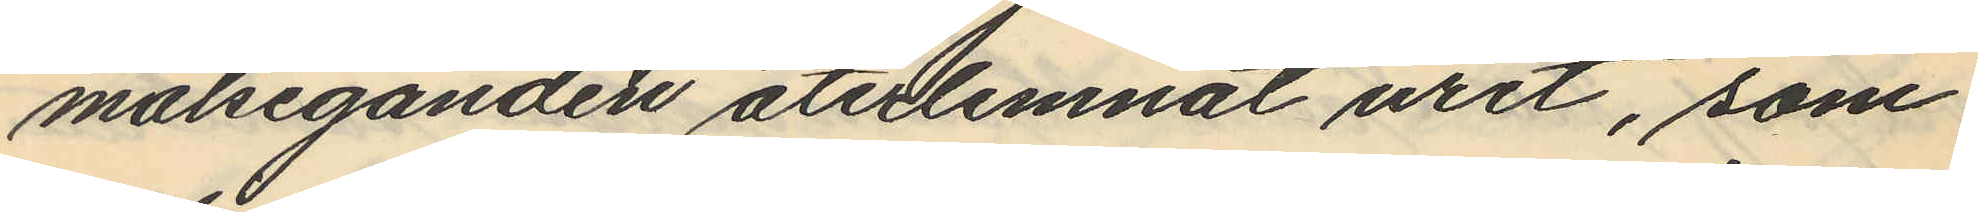målseganden återlemnat uret, som
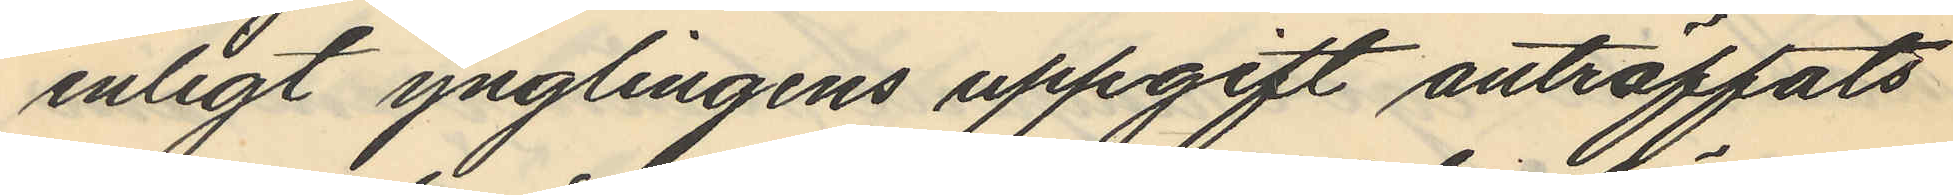enligt ynglingens uppgift anträffats
